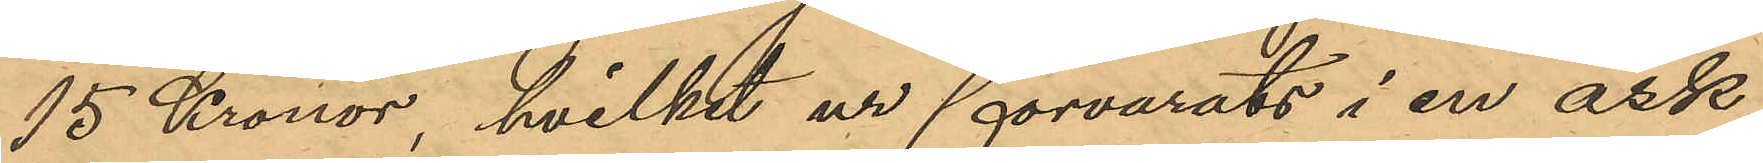15 Kronor, hvilket ur förvarats i en ask
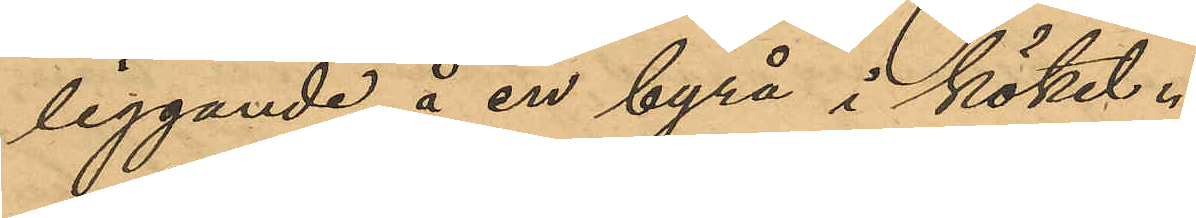liggande å en byrå i köket.
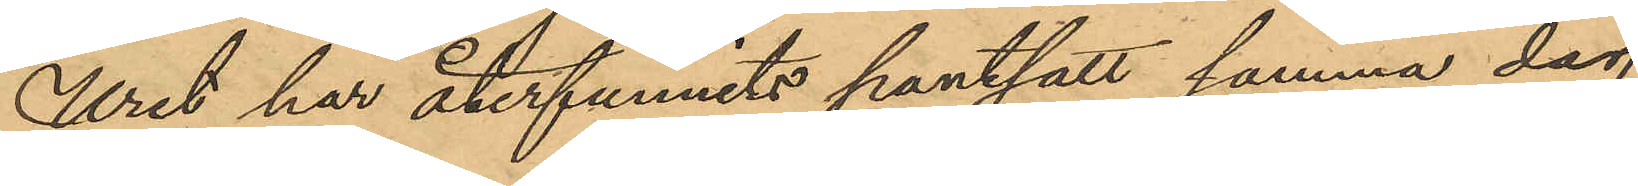Uret har återfunnits pantsatt samma dag
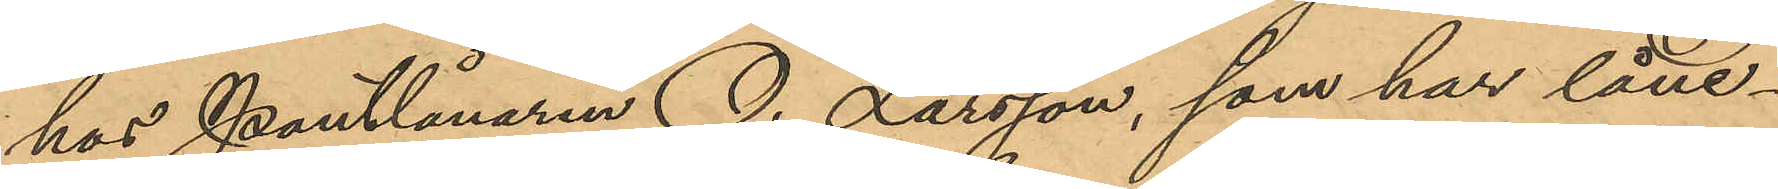hos Pantlånaren O. Larsson, som har låne¬
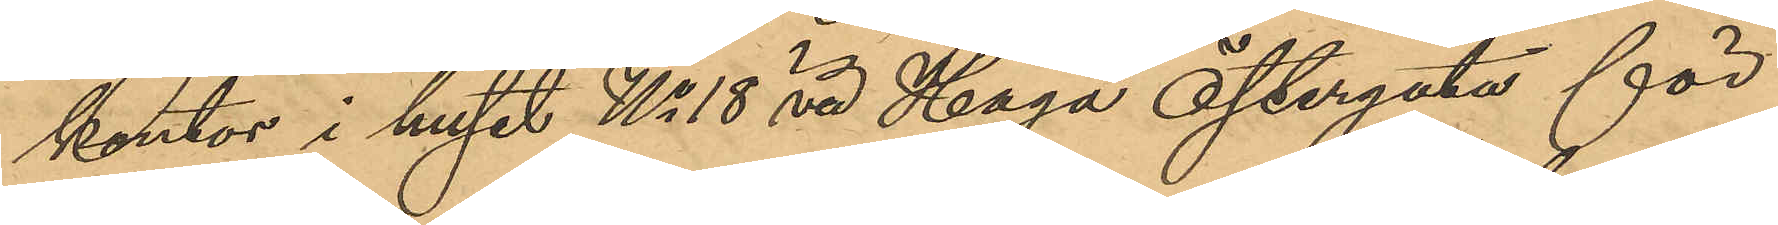kontor i huset No 18 vd Haga Östergata för
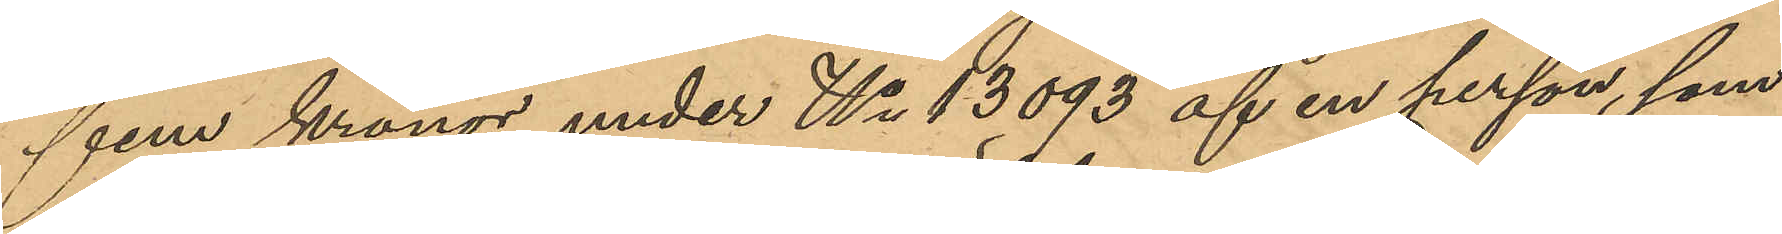fem kronor under No 13093 af en person, som
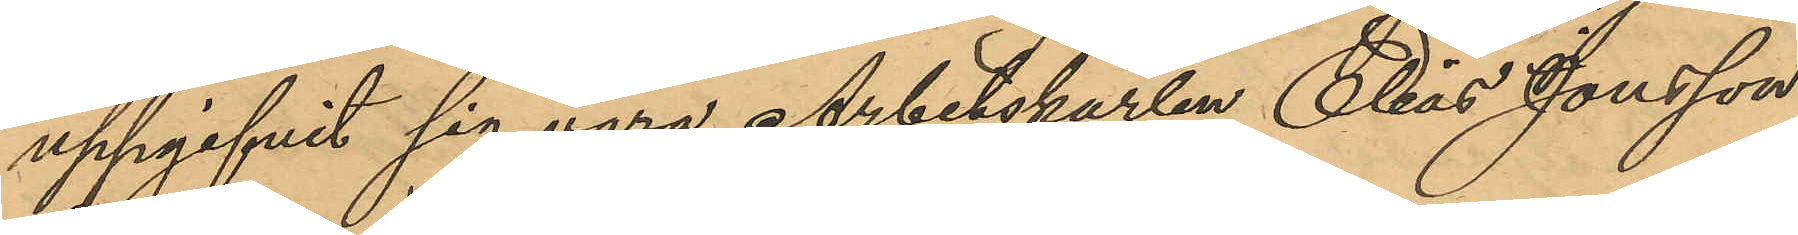uppgifvit sig vara Arbetskarlen Elias Jonsson,
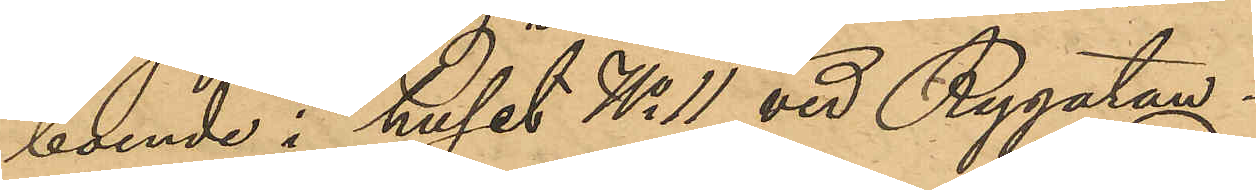boende i huset No 11 vid Rygatan.
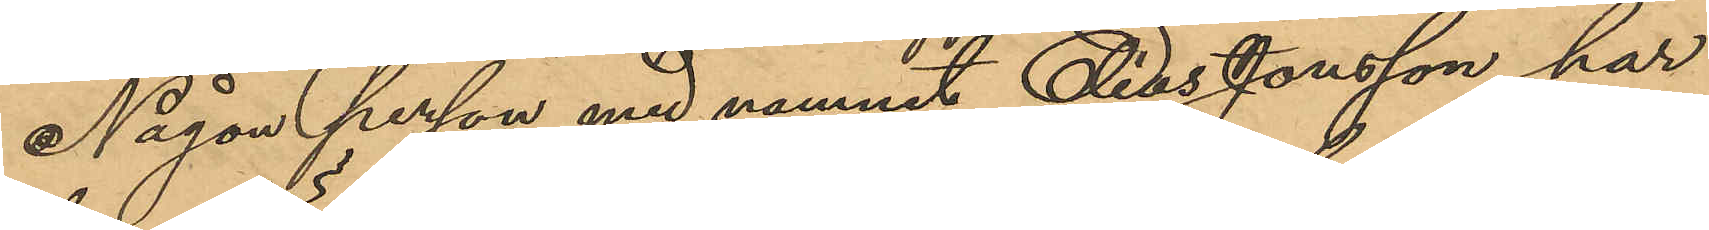Någon person med namnet Elias Jonsson har
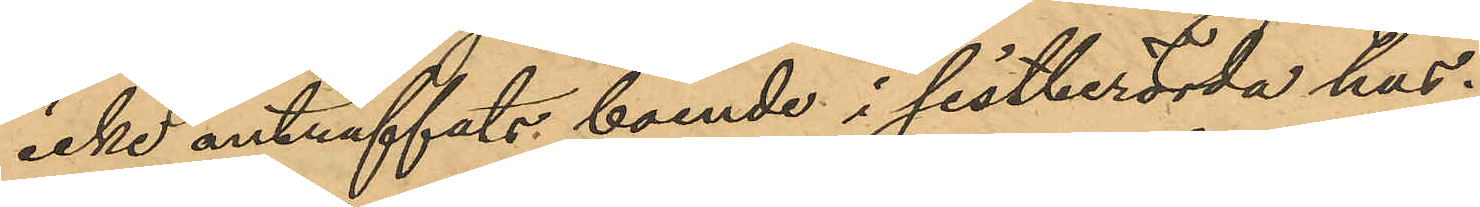icke anträffats boende i sistberörda hus.
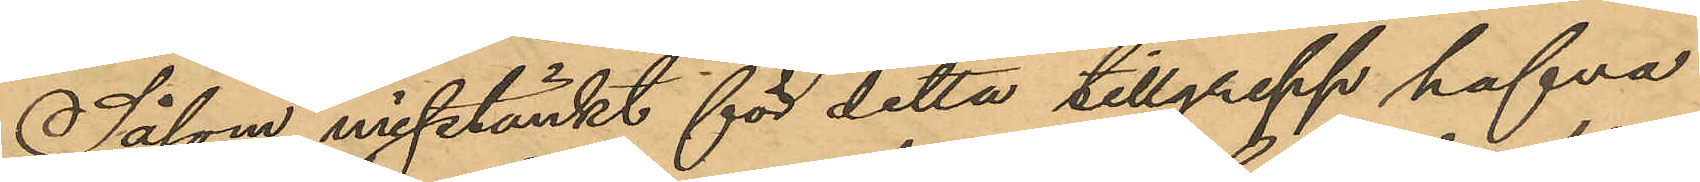Såsom misstänkt för detta tillgrepp hafva
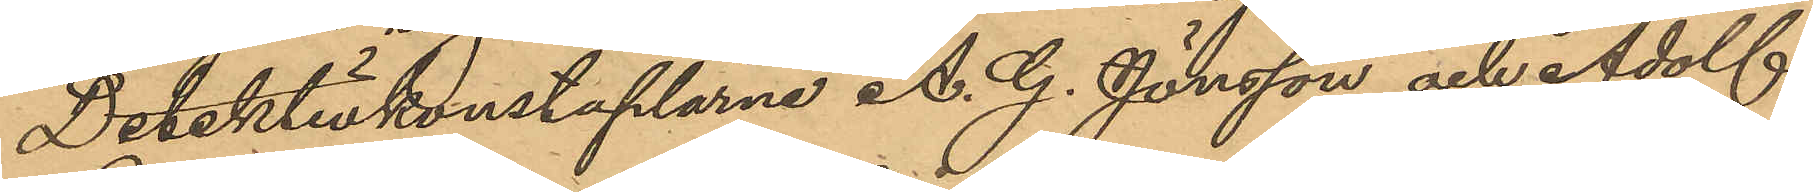Detektivkonstaplarne A. G. Jönsson och Adolf
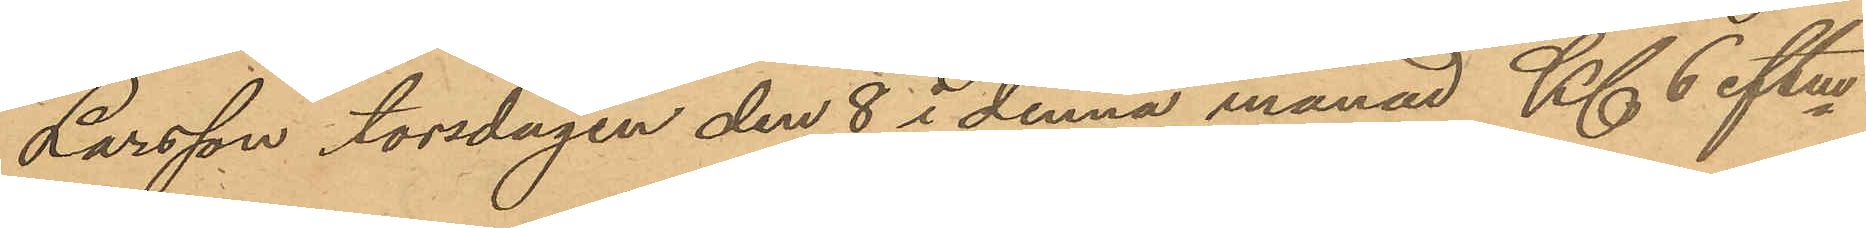Larsson torsdagen den 8 i denna månad Kl 6 eftm
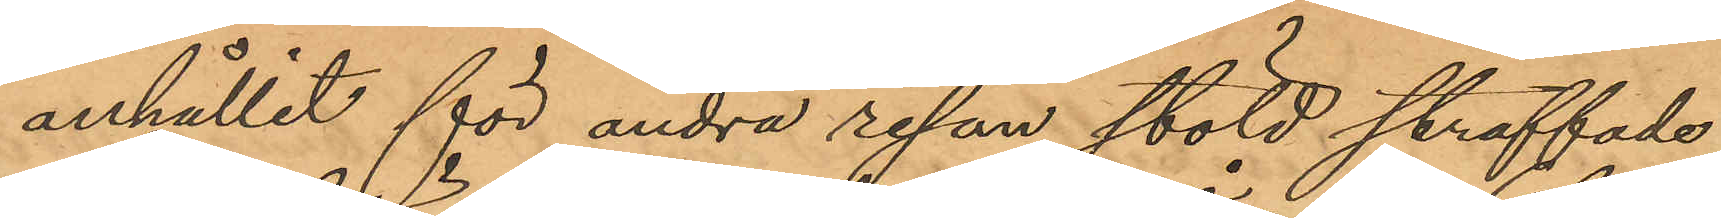anhållit för andra resan stöld straffade
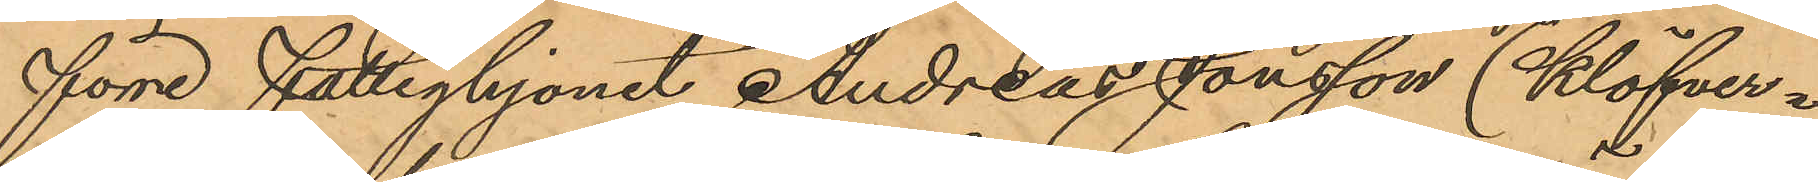förre fattighjonet Andreas Jonsson (Klöfver¬
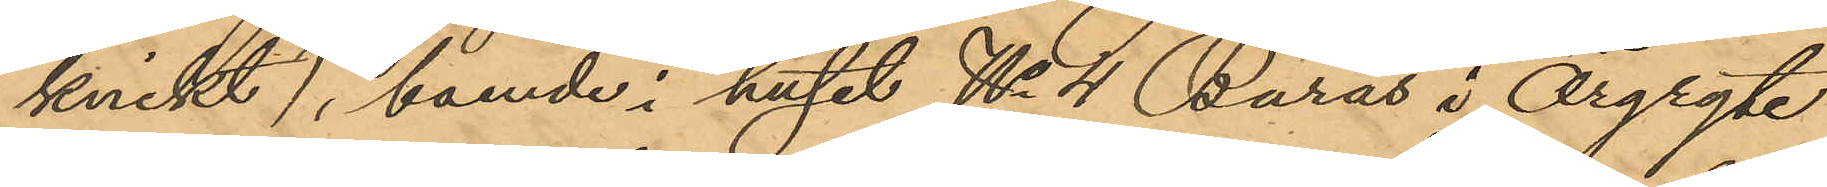knikt), boende i huset No 4 Burås i Örgryte
